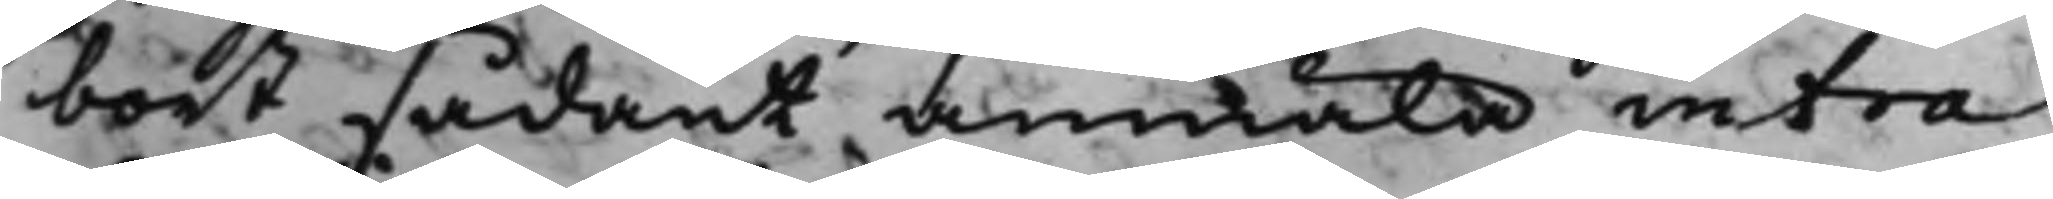bort sådant anmäla intra
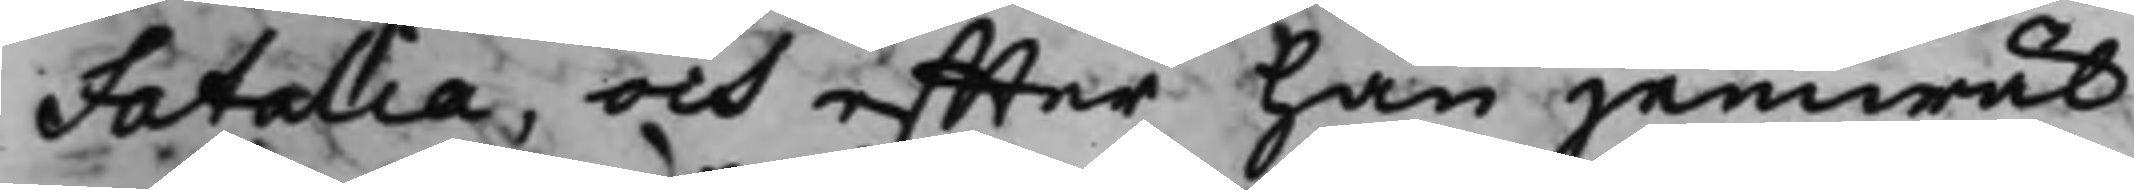Fatalia, och effter han jemwäl
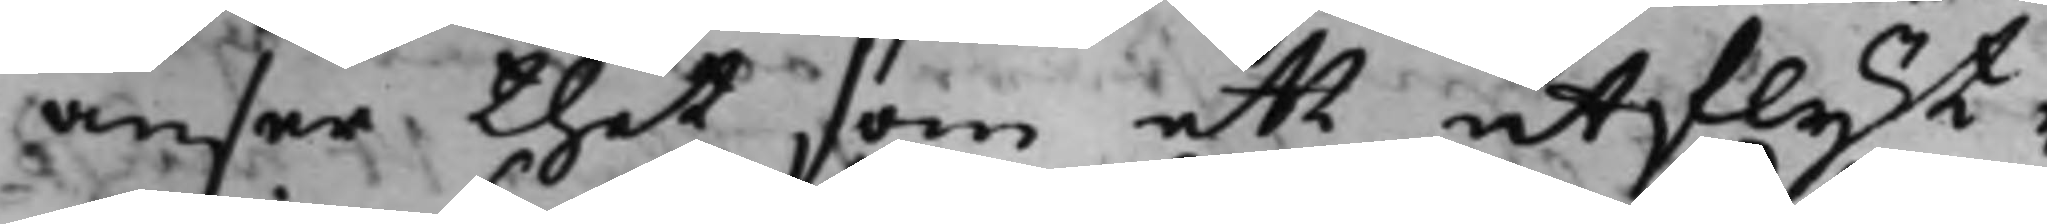anser, thet som ett utflyt¬
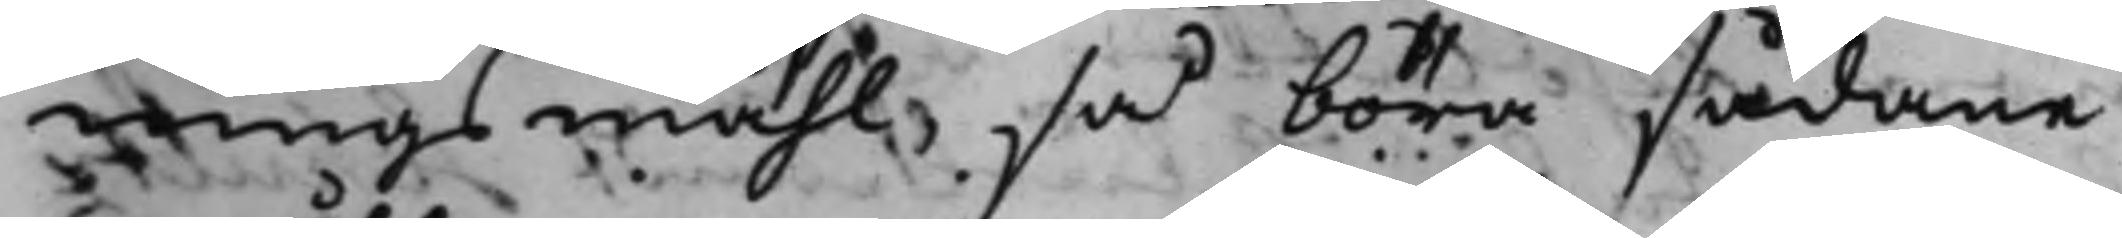ningsmåhl, så böra sådane
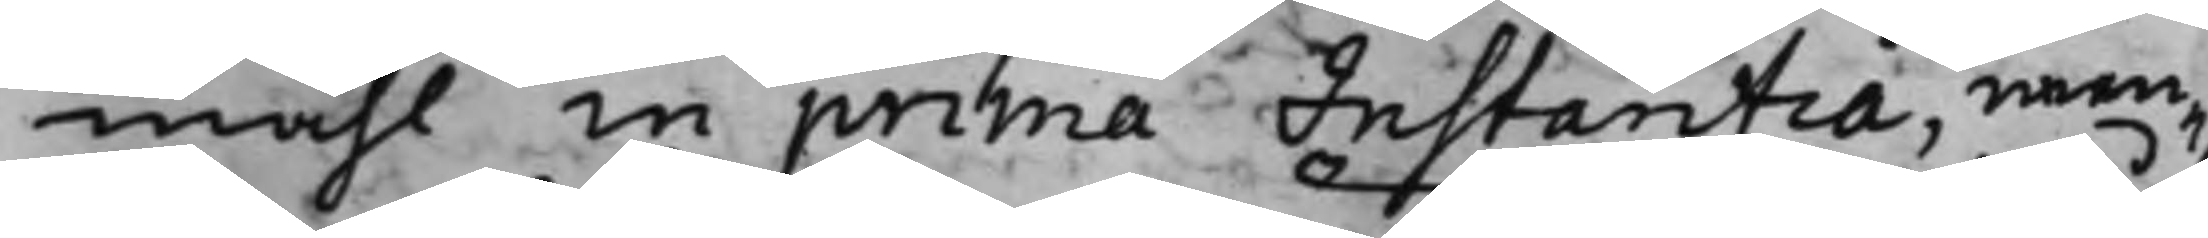måhl in prima Instaritia, nem¬
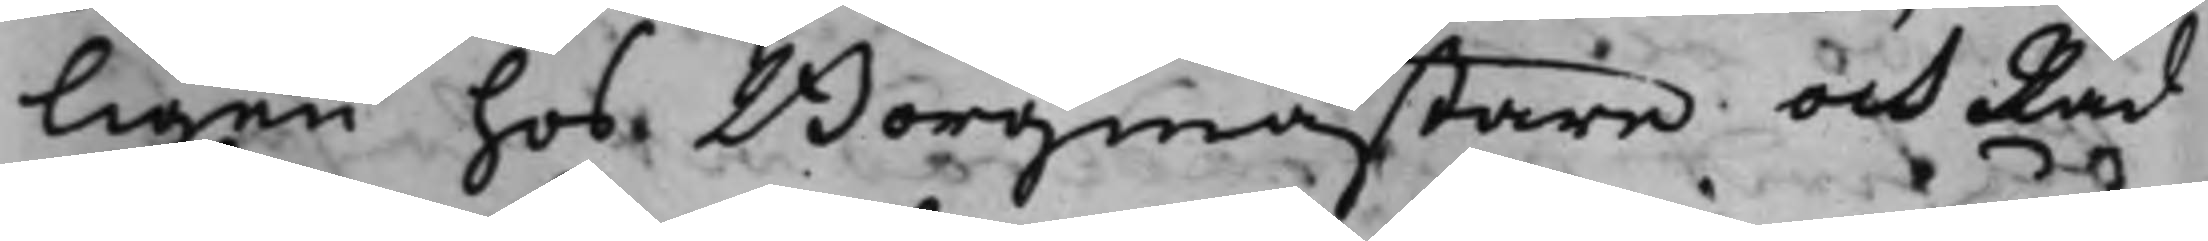ligen hos Borgmästare och Råd
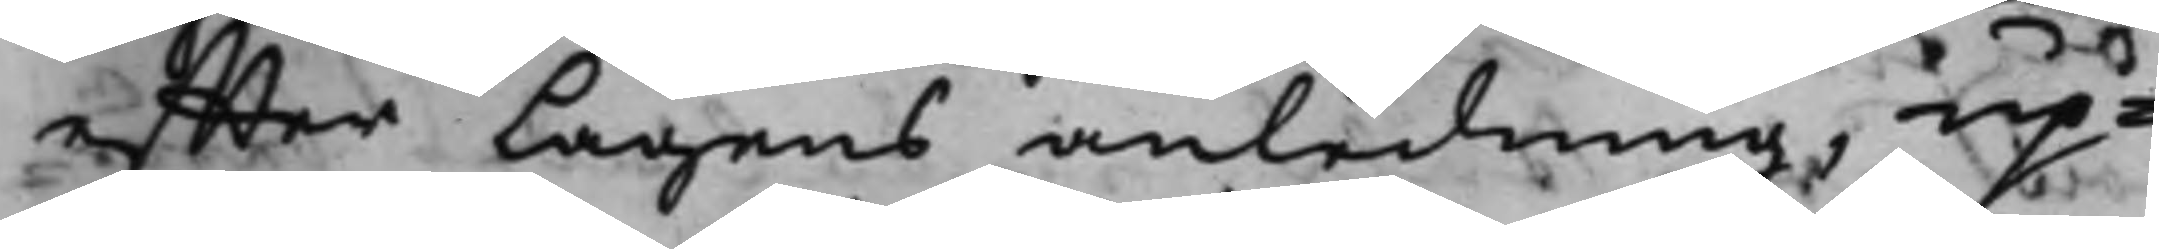effter Lagens anledning, up¬
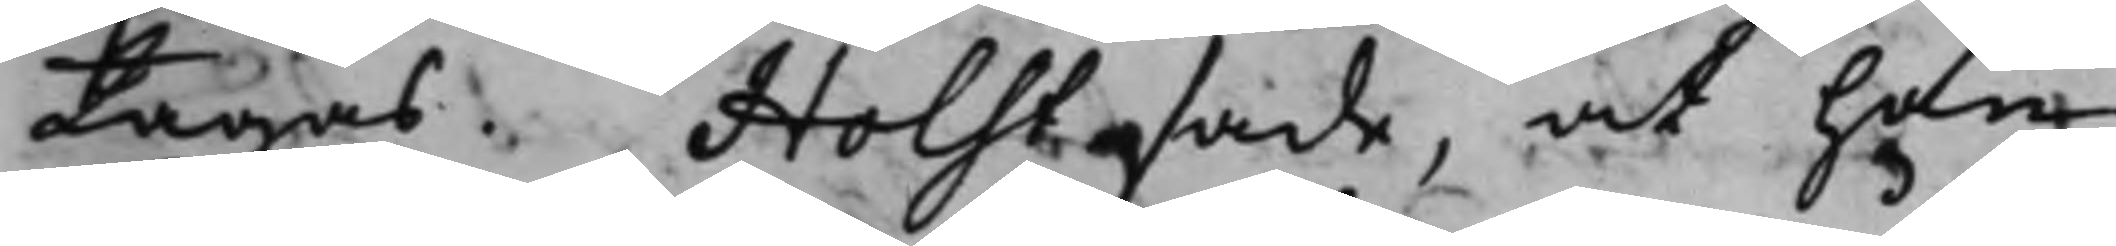tagas. Holst sade, at han
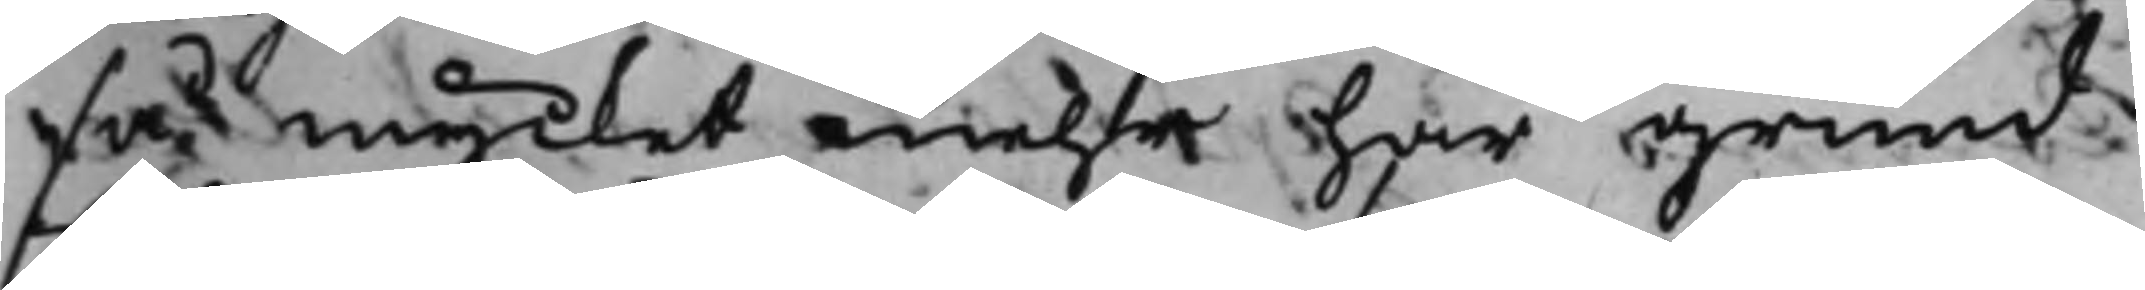så mycket mehr har grund
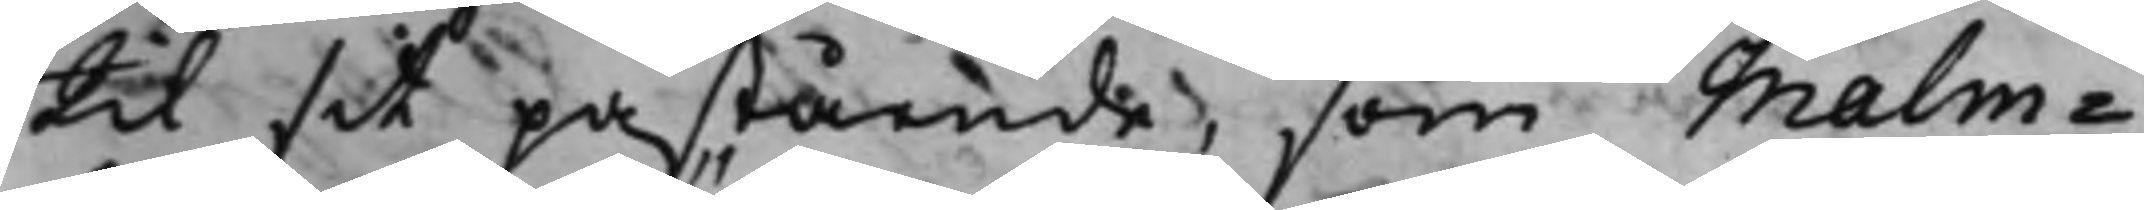til sit påstående, som Malm¬
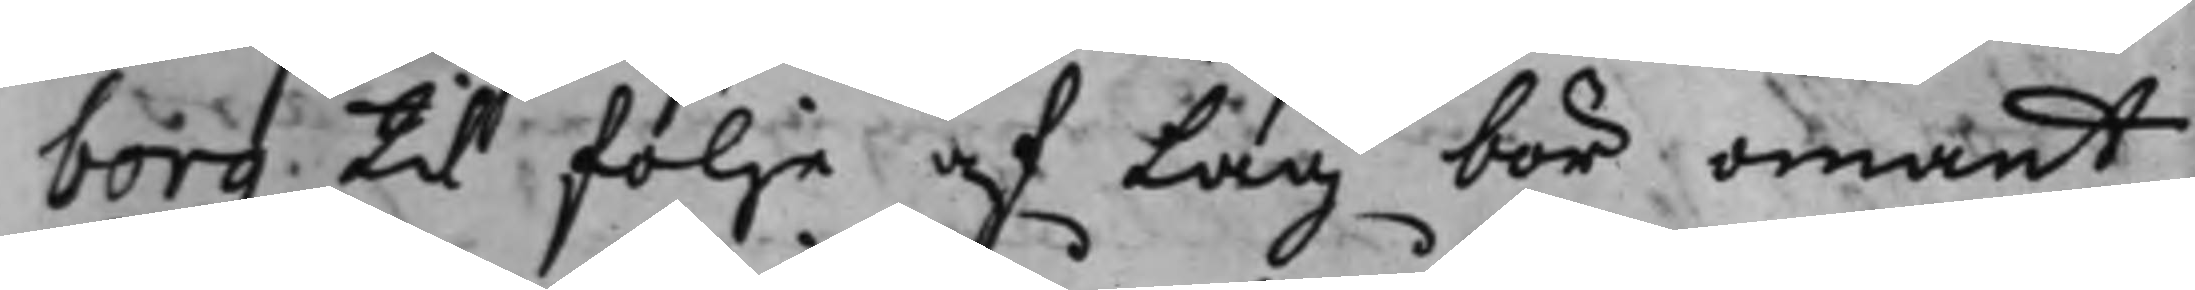borg til föllje af Lag bör omant
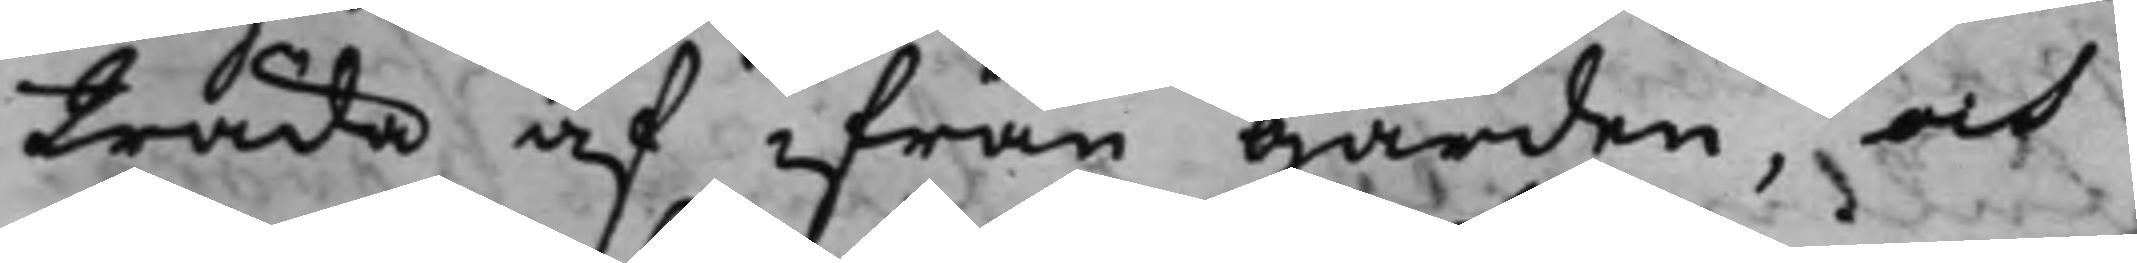träda af ifrån Gården, och
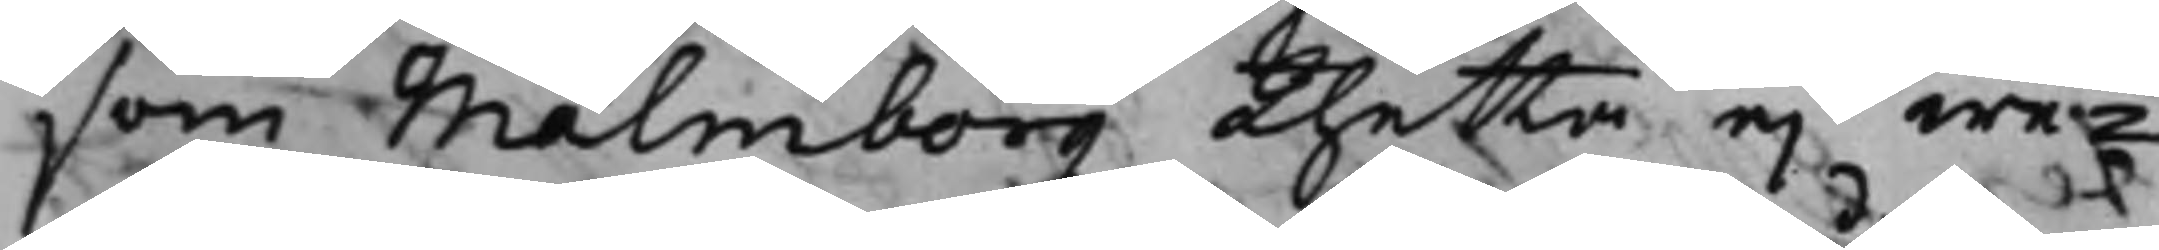som Malmborg thetta ej we¬
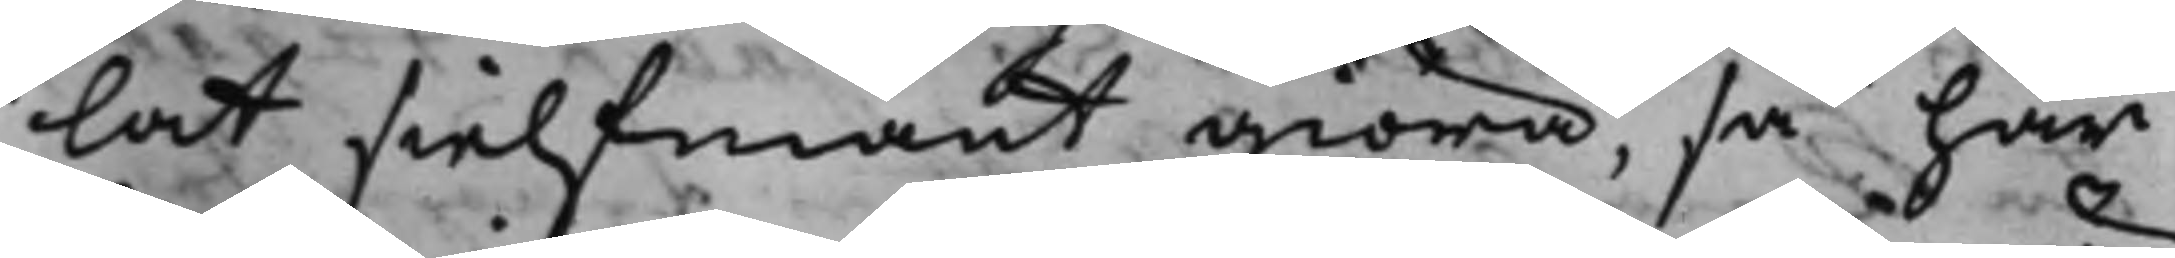lat sielfmant giöra, så har
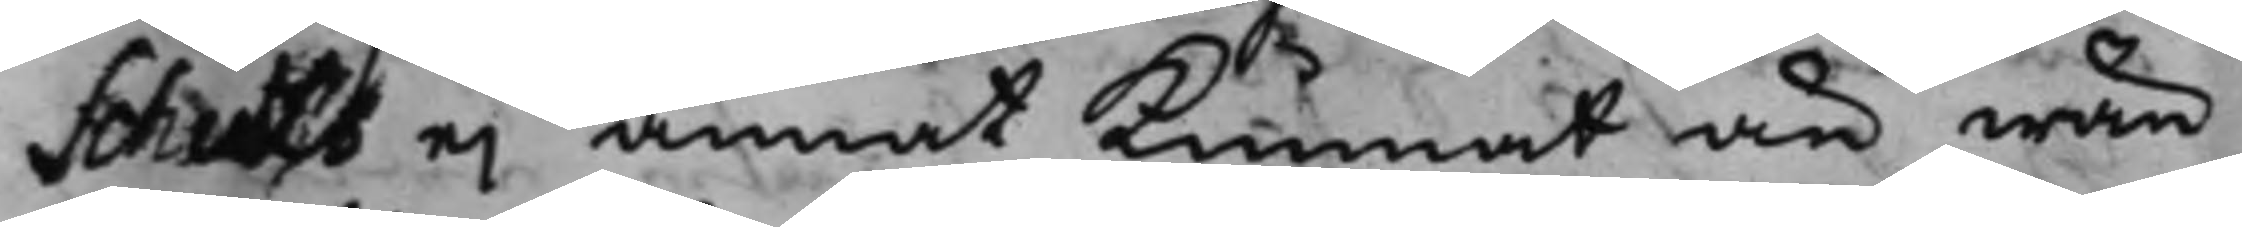Schultz ej annat kunnat än wän¬
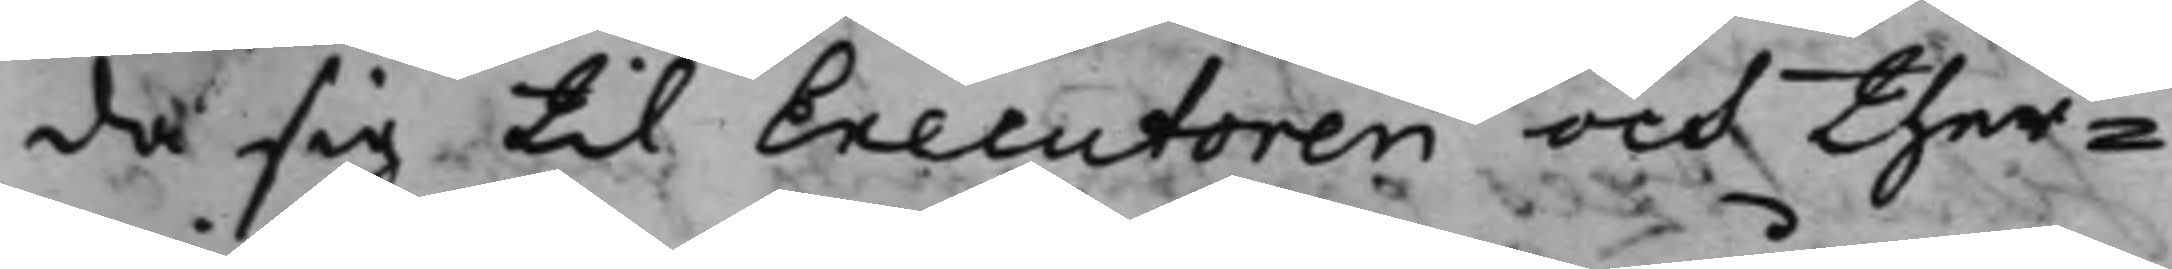da sig till Executoren och ther¬
